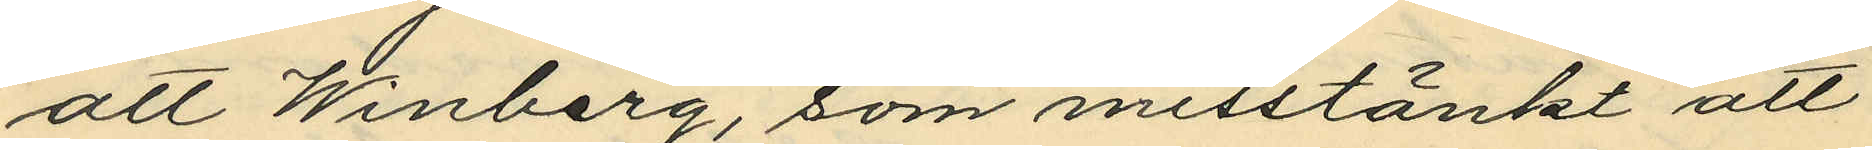att Winberg, som misstänkt att
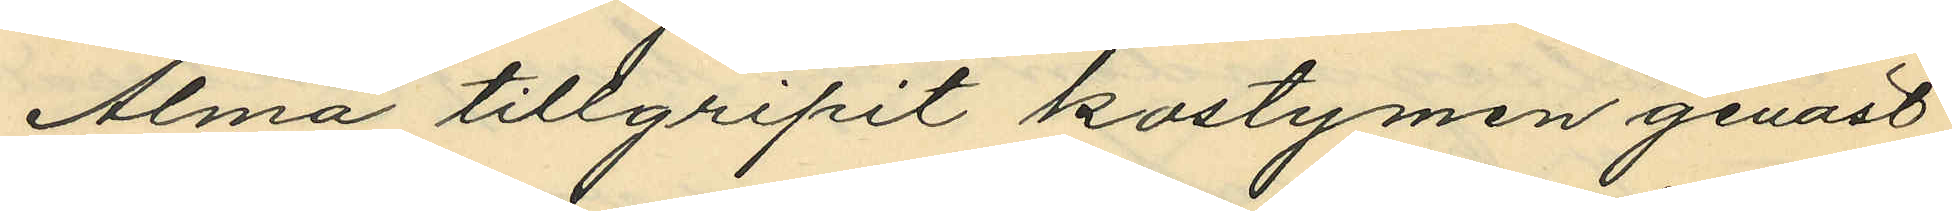Alma tillgripit kostymen genast
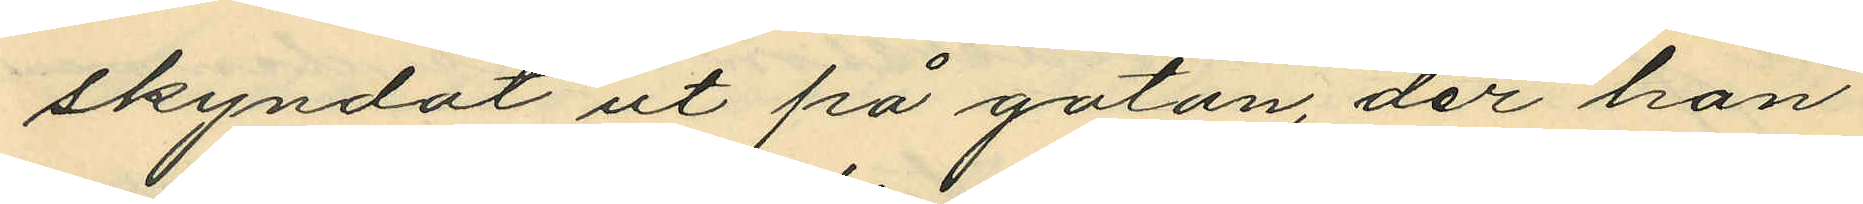skyndat ut på gatan, der han
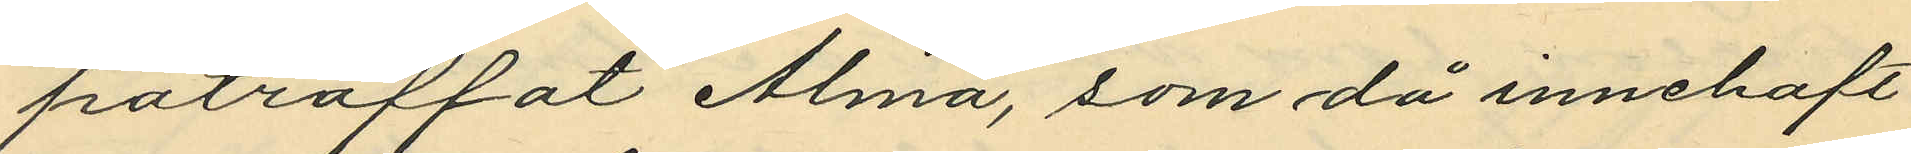påträffat Alma, som då innehaft
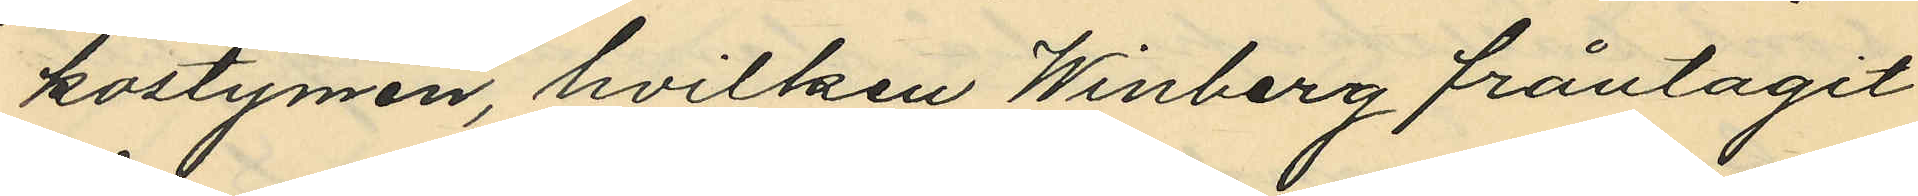kostymen, hvilken Winberg fråntagit
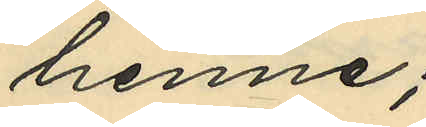henne;
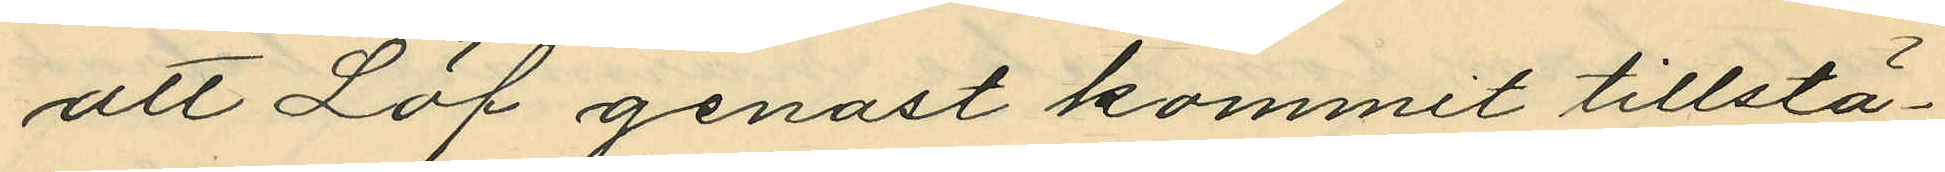att Löf genast kommit tillstä¬
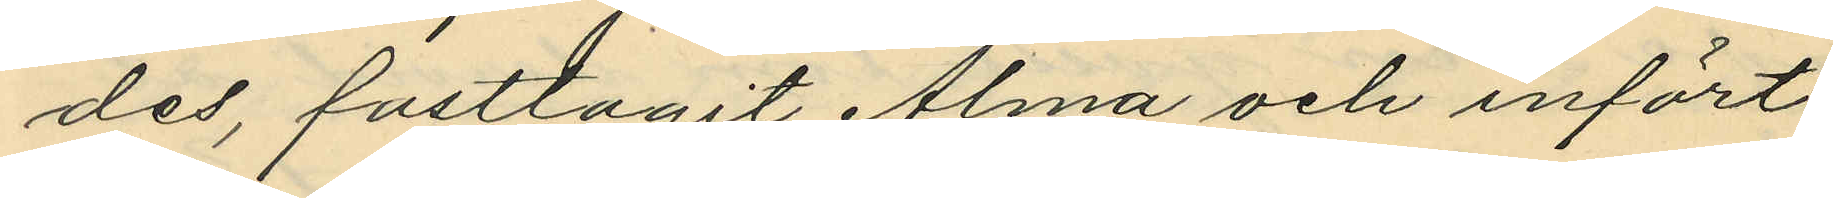des, fasttagit Alma och infört
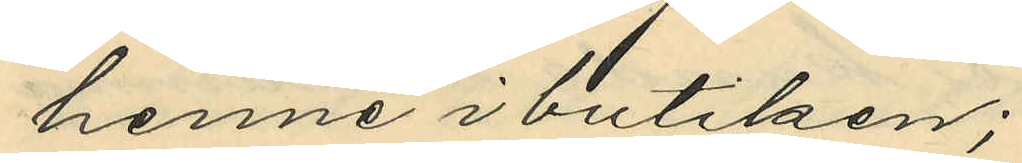henne i butiken;
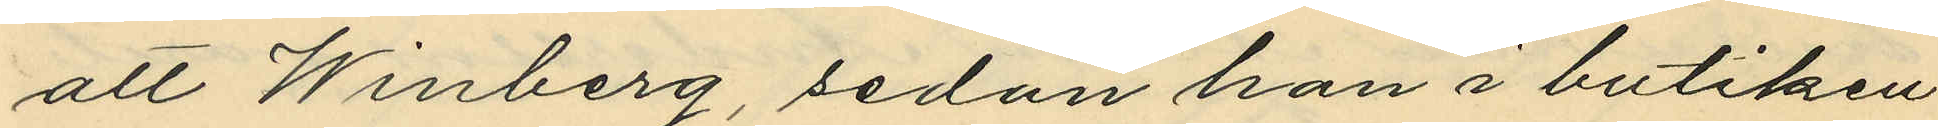att Winberg sedan han i butiken
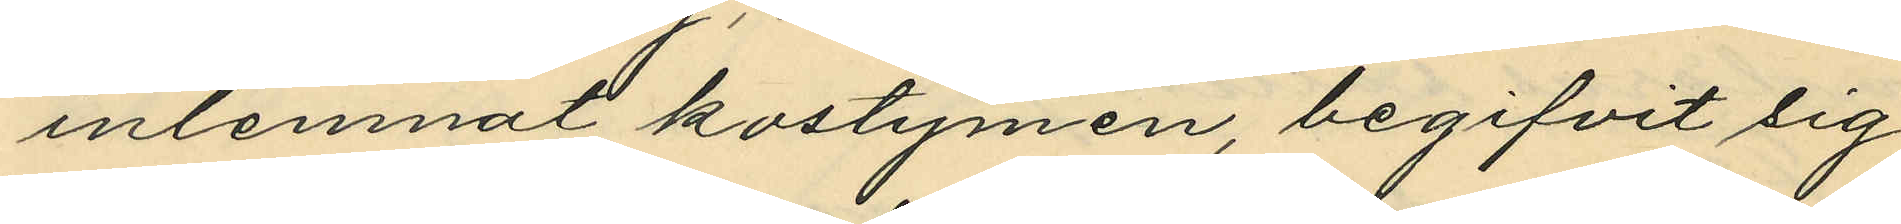inlemnat kostymen, begifvit sig
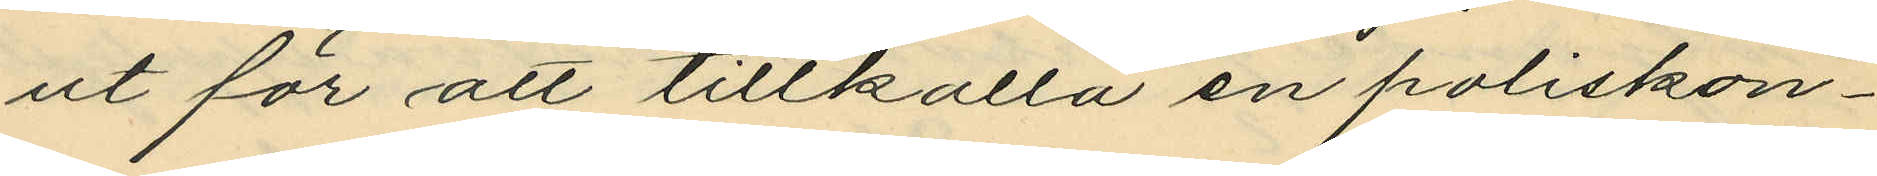ut för att tillkalla en poliskon¬
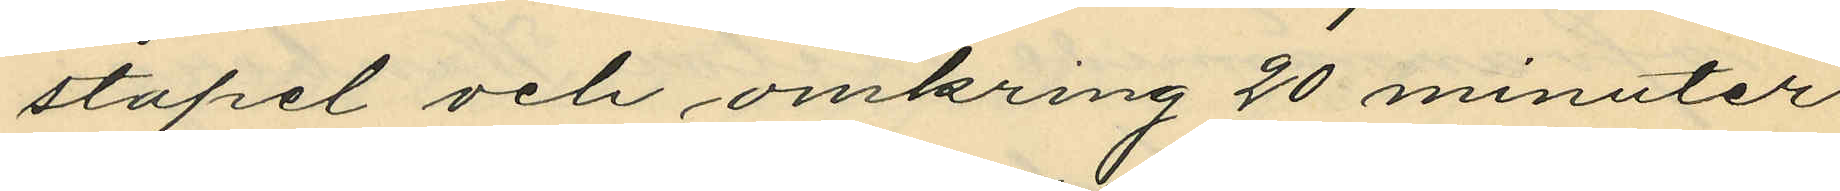stapel och omkring 20 minuter
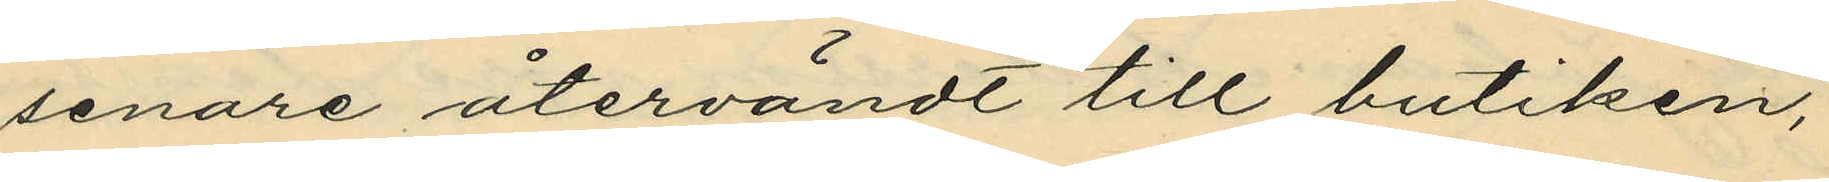senare återvändt till butiken,
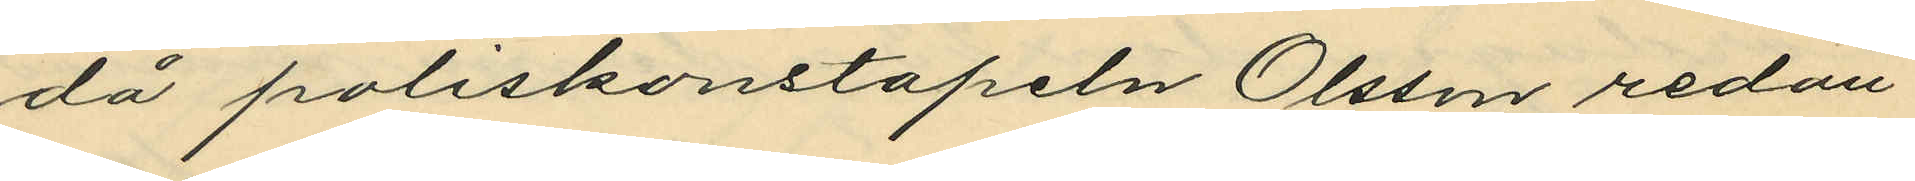då poliskonstapeln Olsson redan
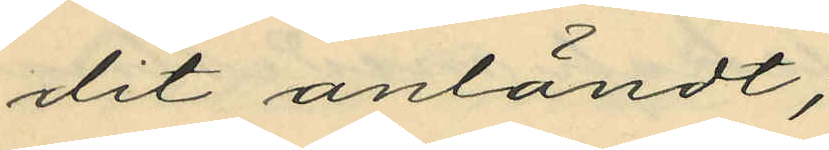dit anländt,
